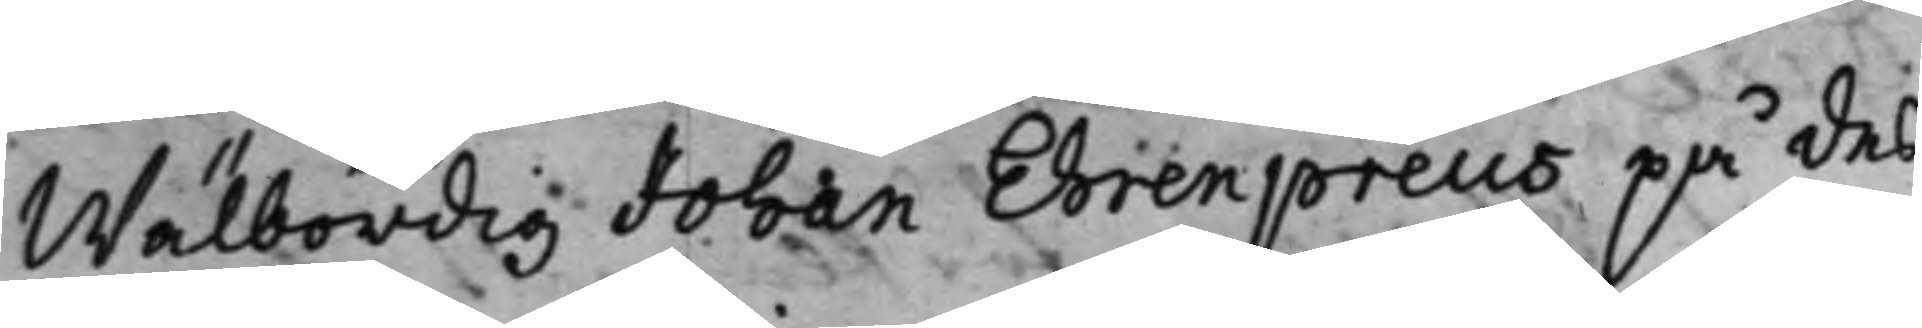Wälbördig Johan Ehrenpreus på des
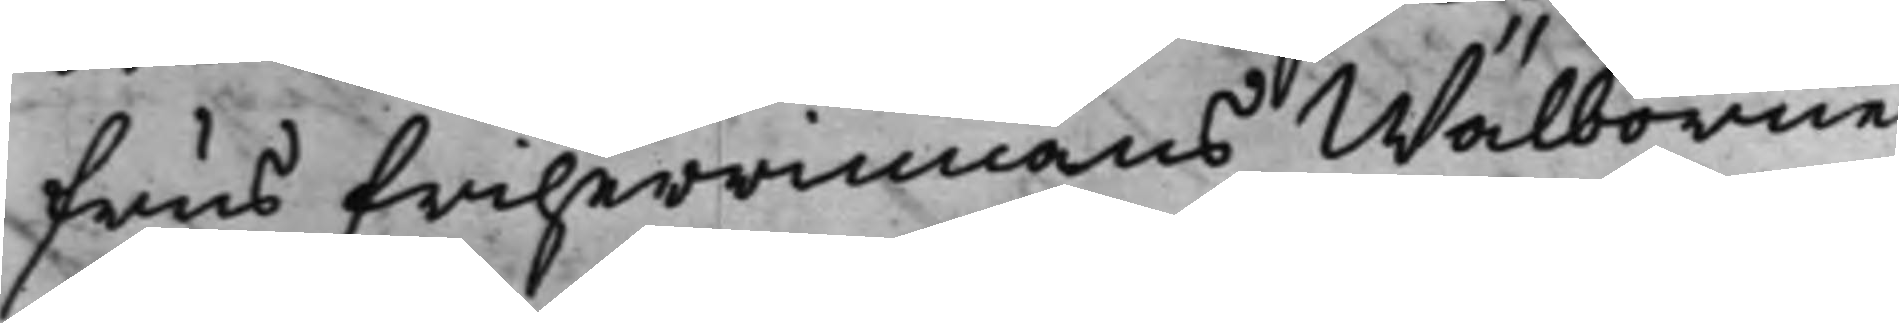fruus Friherrinnans Wälborne
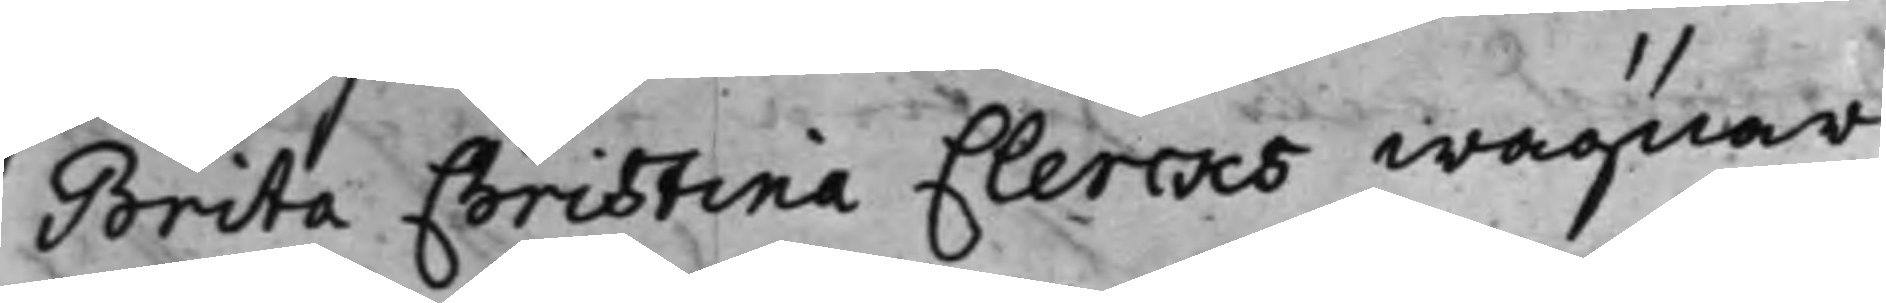Brita Christina Clercks wägnar
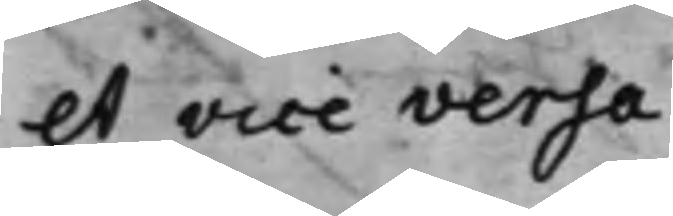et vice versa.
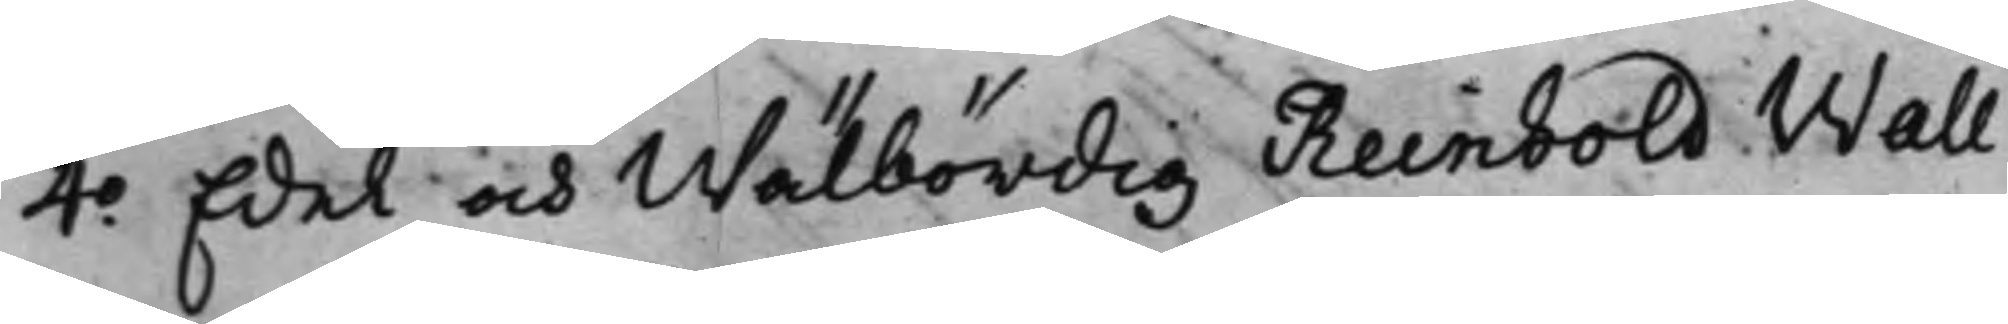4:o Edel och Wälbördig Reinhold Wall¬
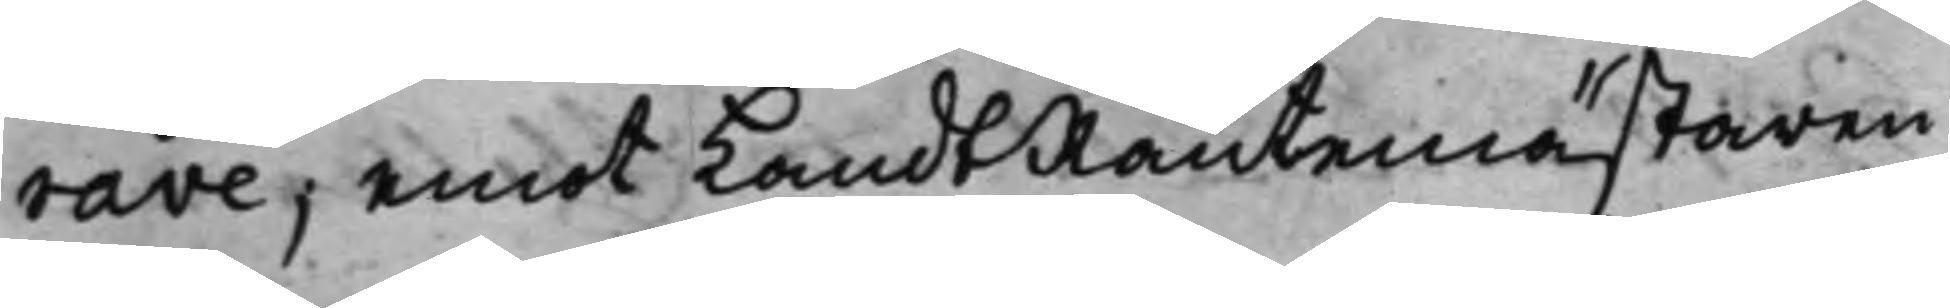rave, emot LandtRäntemästaren
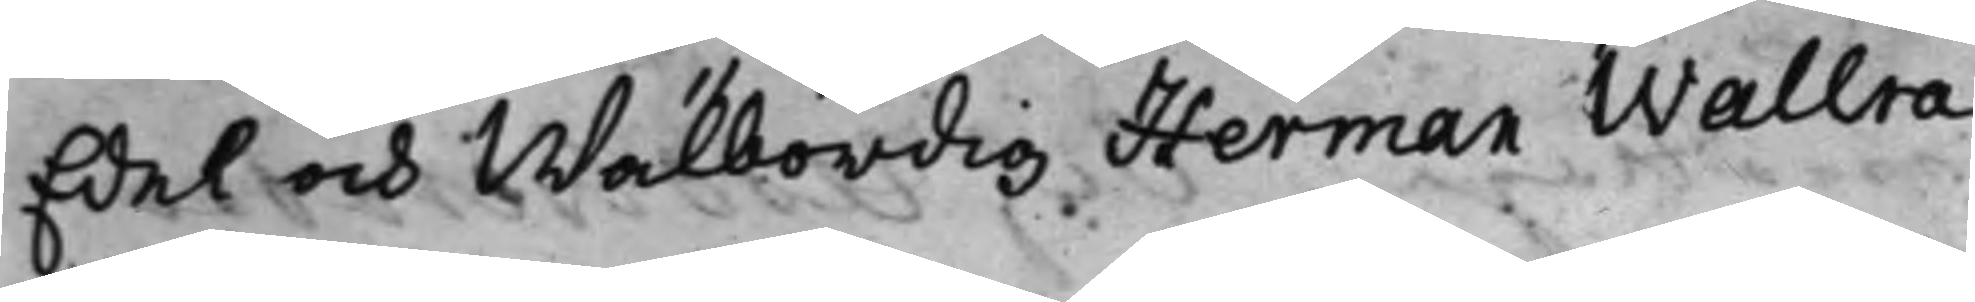Edel och Wälbördig Herman Wallra¬
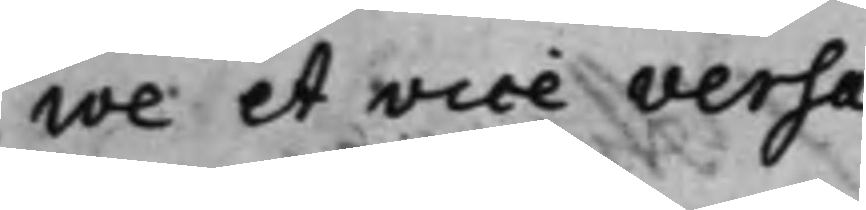ve et vice versa.
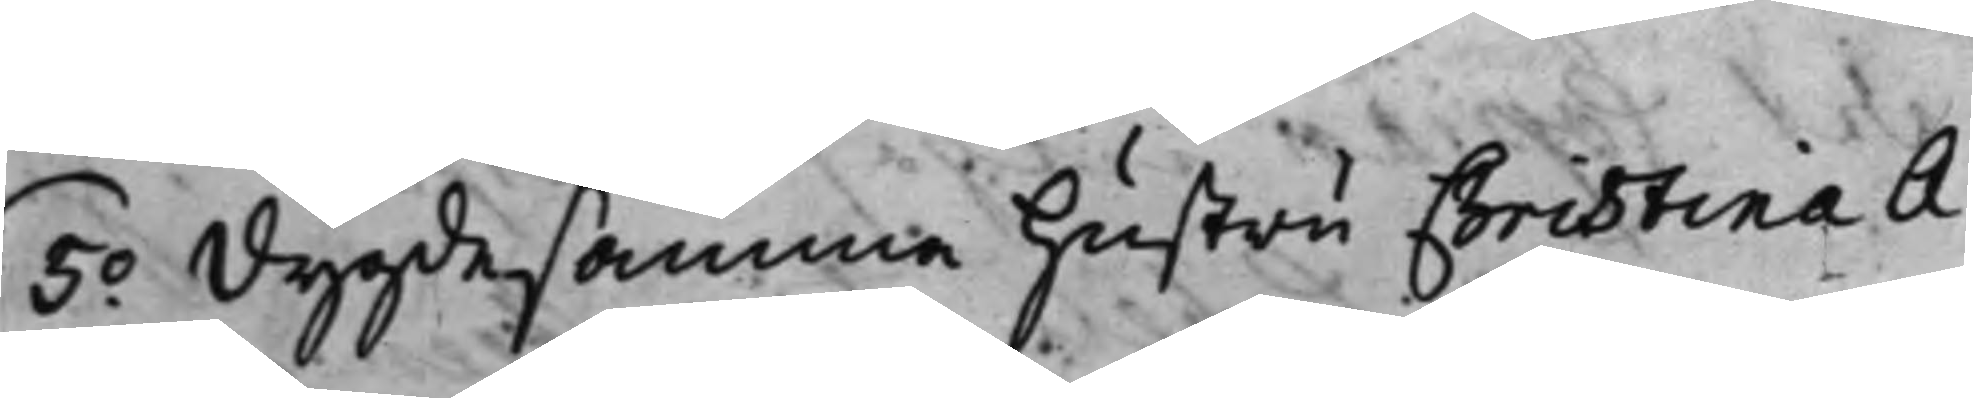5.o Dygdesamma hustru Christina A¬
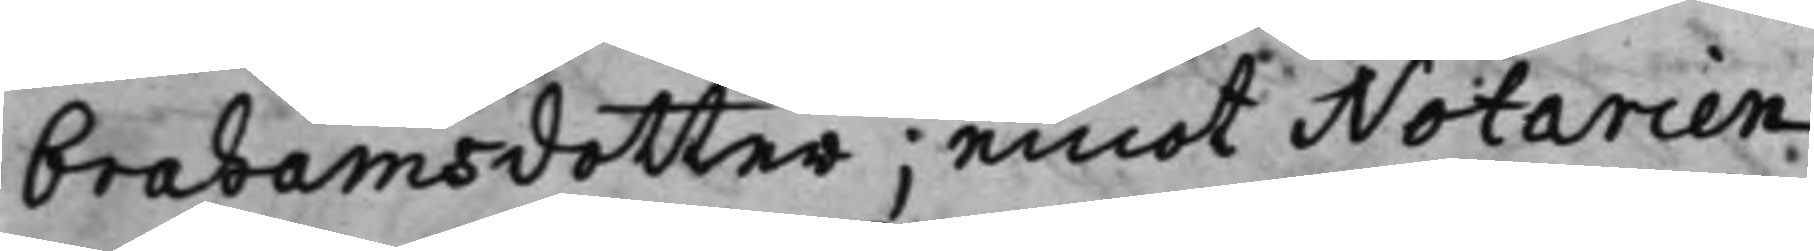brahamsdotter; emot Notarien
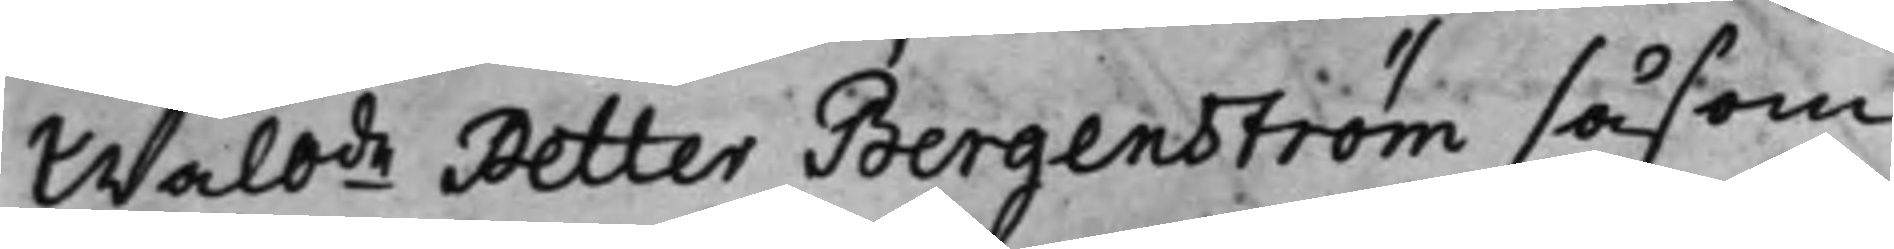Wälb:de Petter Bergenström såsom
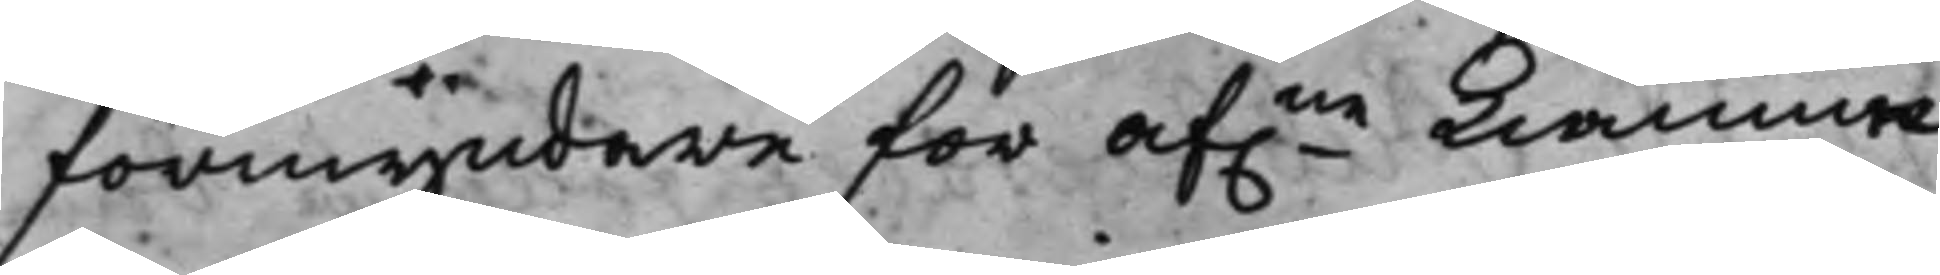förmyndare för af:ne Kiämne¬
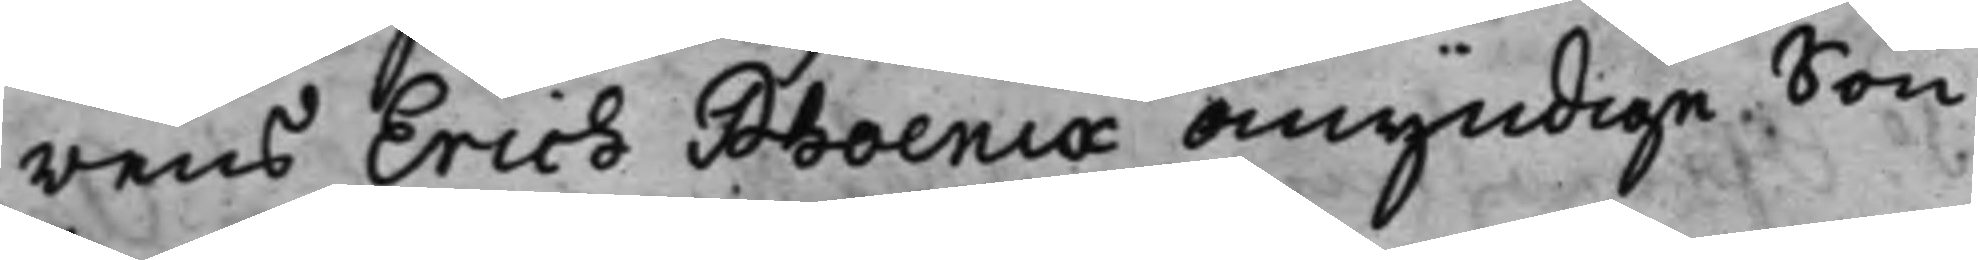rens Erich Phoenix omyndige Son
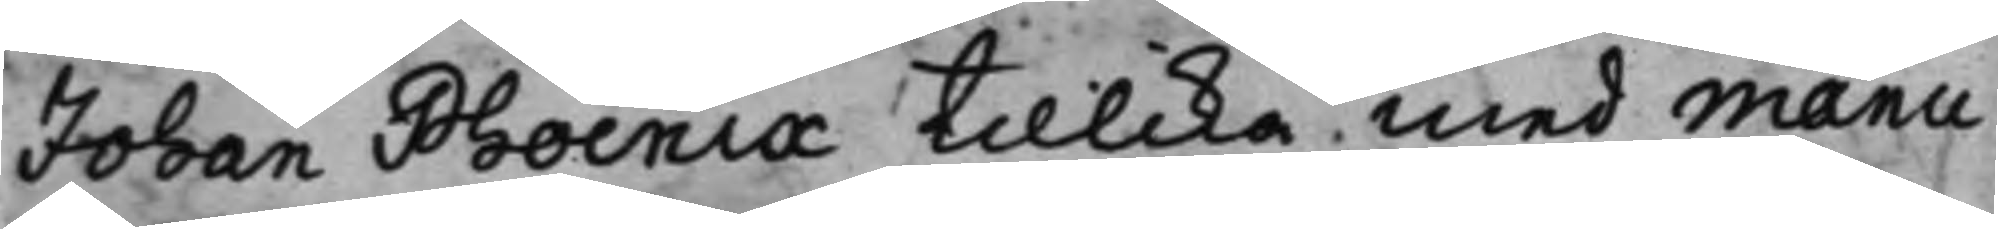Johan Phoenix tillika med manu¬
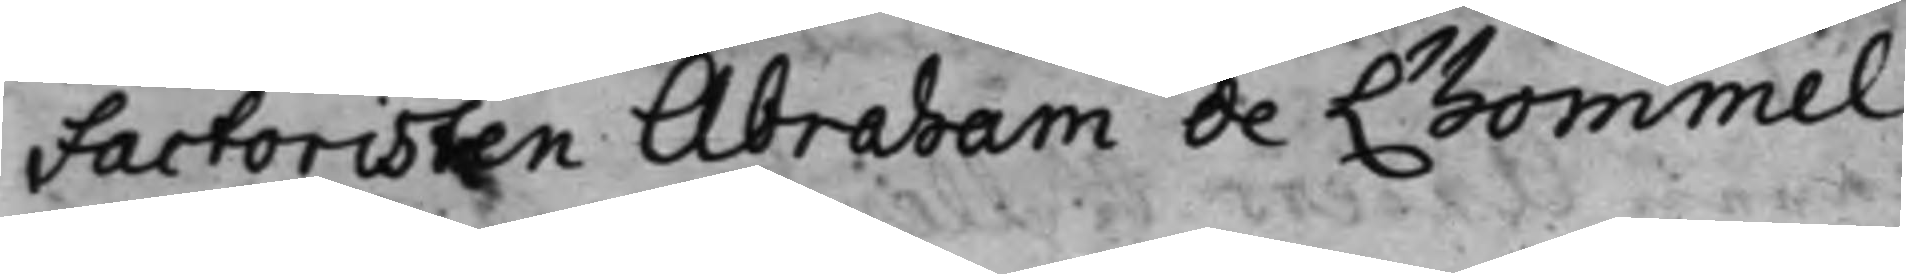factoristen Abraham de L'hommel
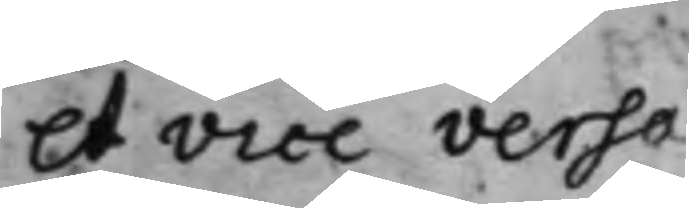et vice versa.
